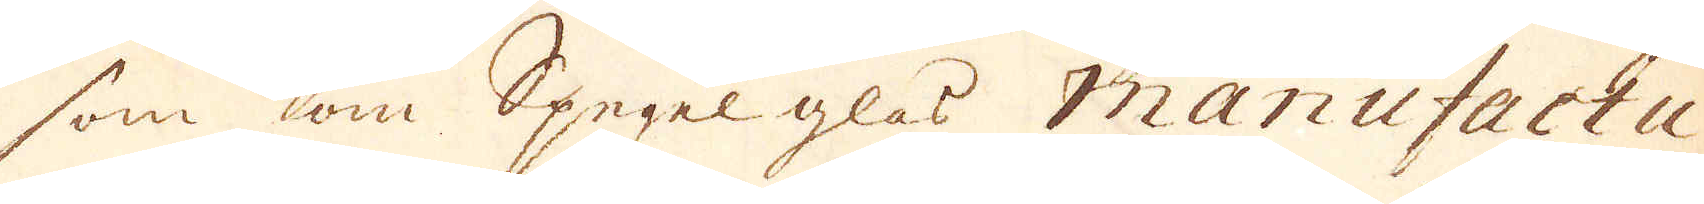som om Spegel glas Manufactu-
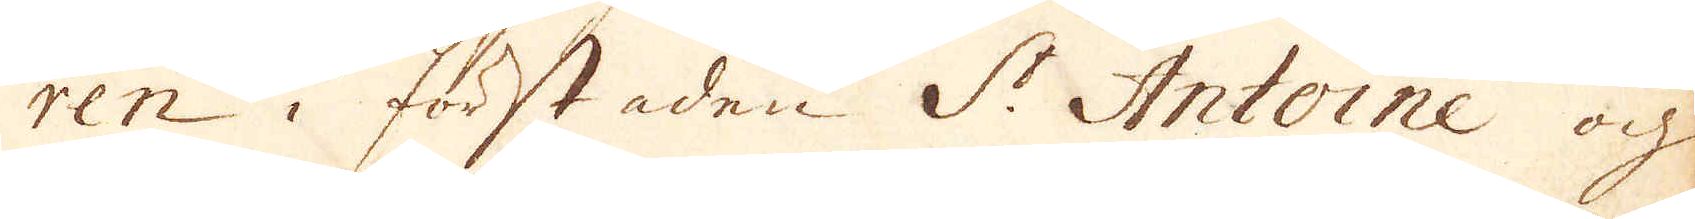ren i förstaden St Antoine och
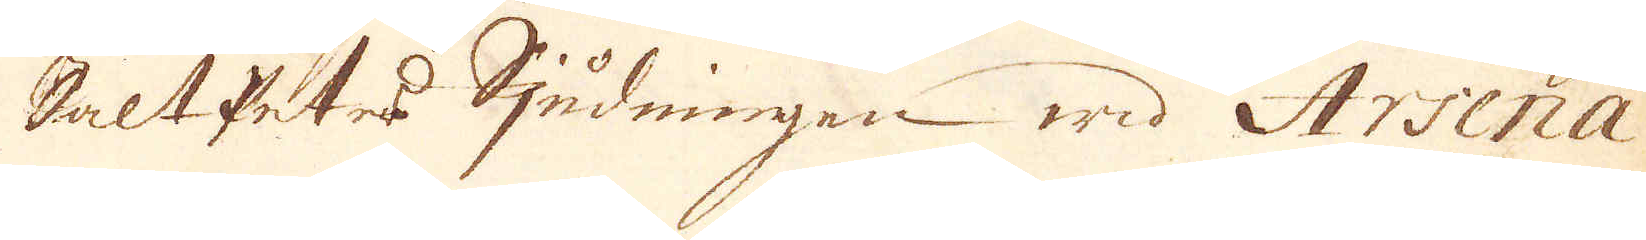SaltPeters Sjudningen wid Arsena-
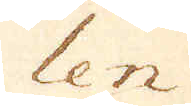len
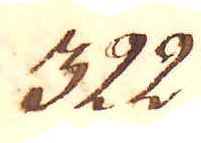322.
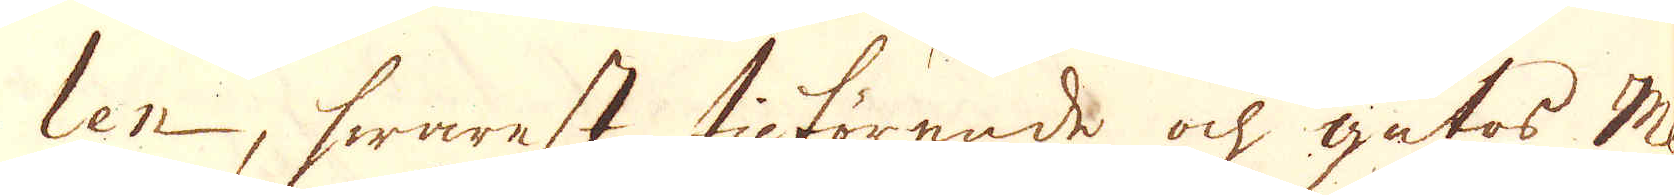len, hwarest införende ock gutas Met-
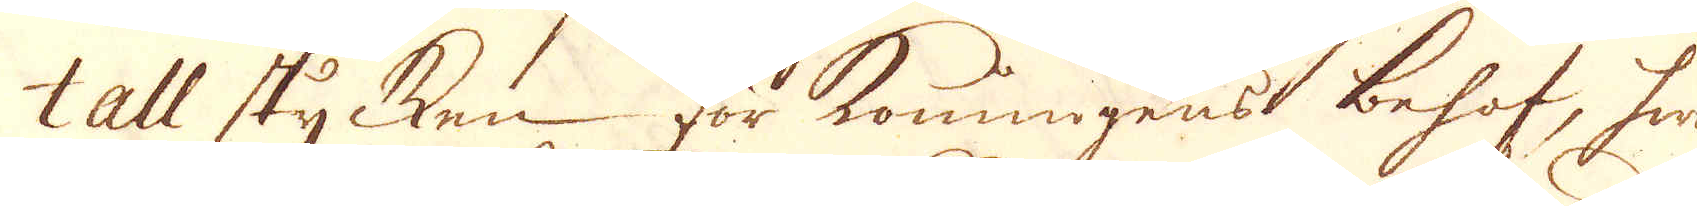tall stycken för Konungens behof, hwil-
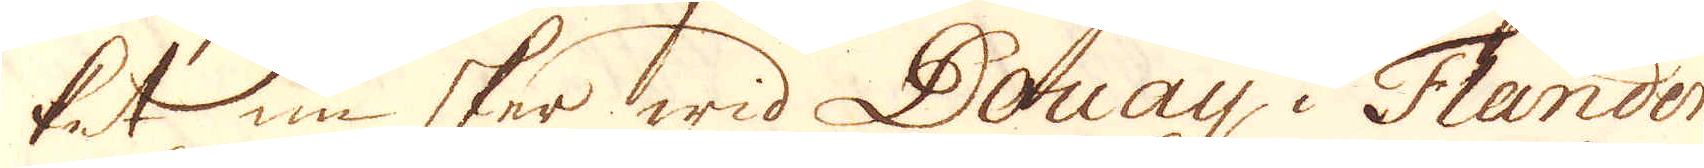ket nu sker wid Douay i Flandern,
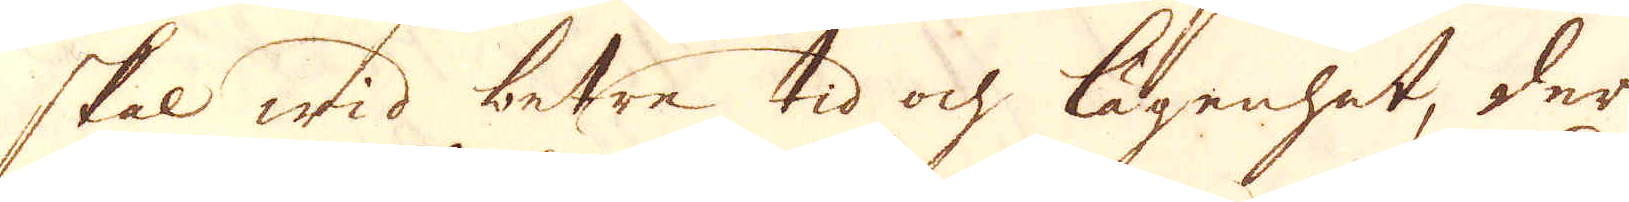skal wid betre tid ock lägenhet, der
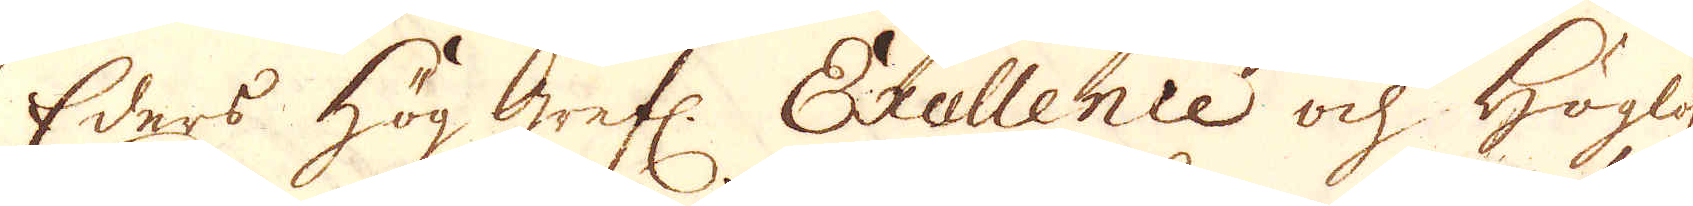Eders Höggrefl: Excellence ock Höglofl.
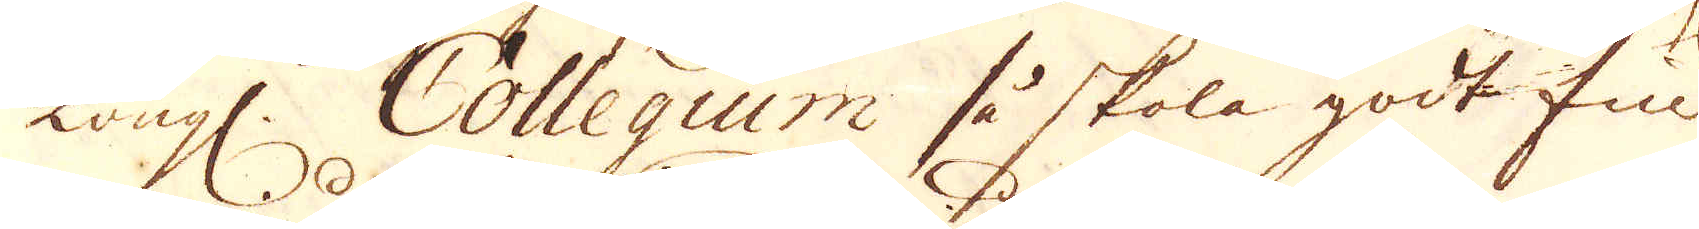Kongl. Collegium så skola godt fin-
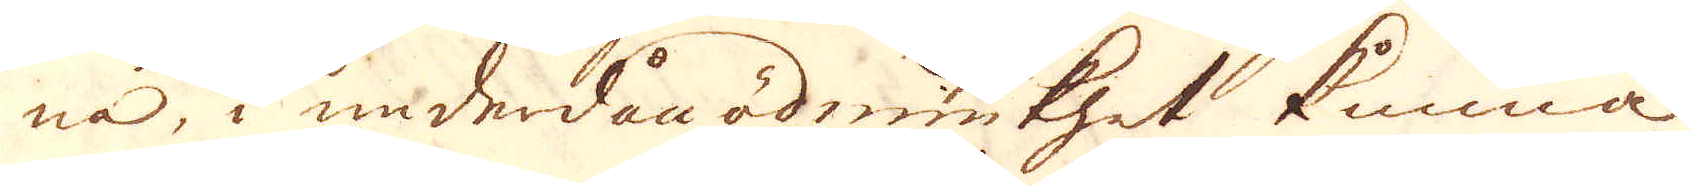na, i underdån ödmiukhet kunna
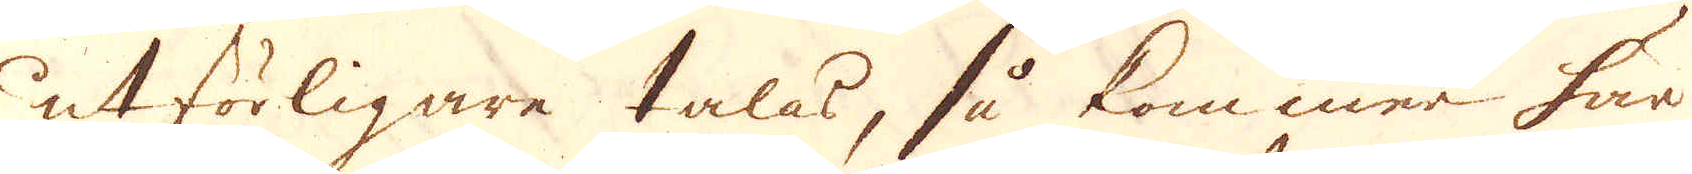utförligare talas, så kommer här
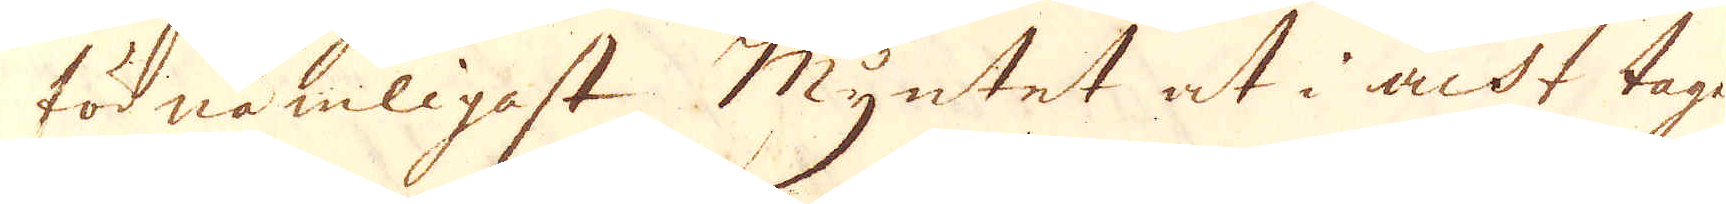för nämligast Myntet at i ackt tagas
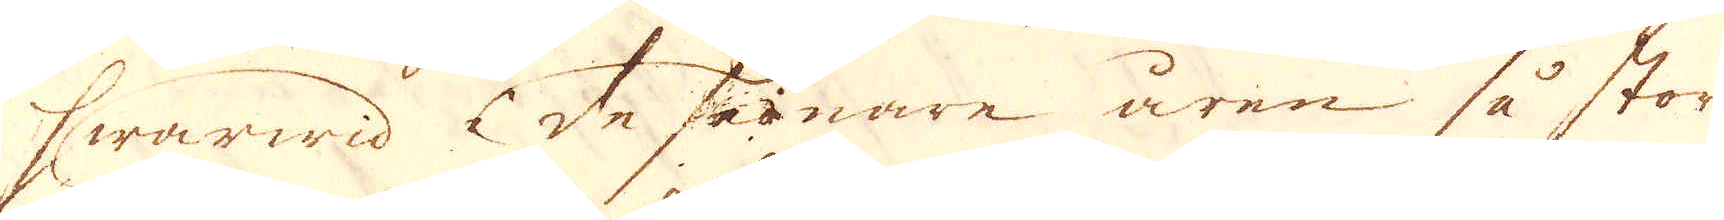hwarwid de senare åren så stora
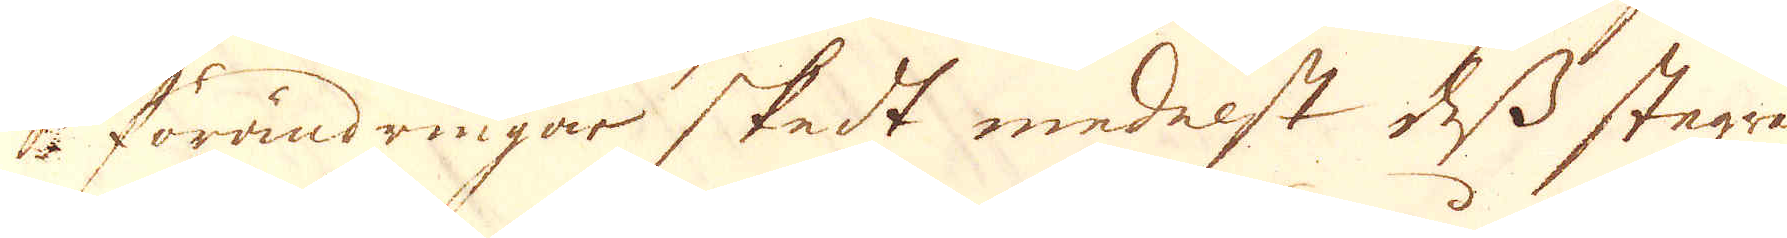förändringar skedt medelst dess stegra-
